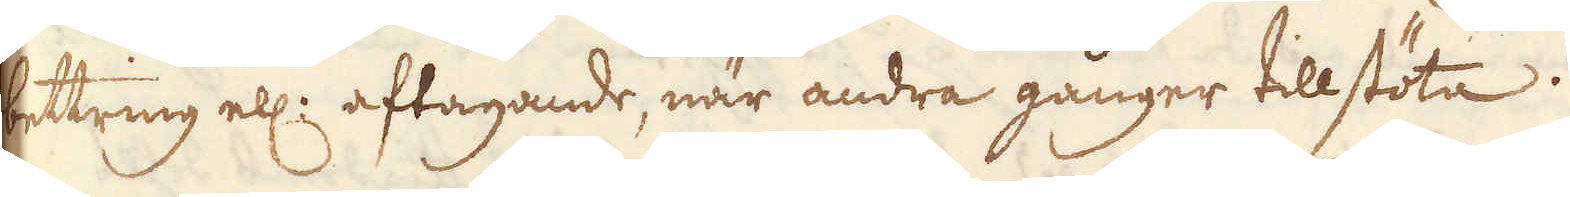bettring ell: aftagande, när andra gånger tillstöta.
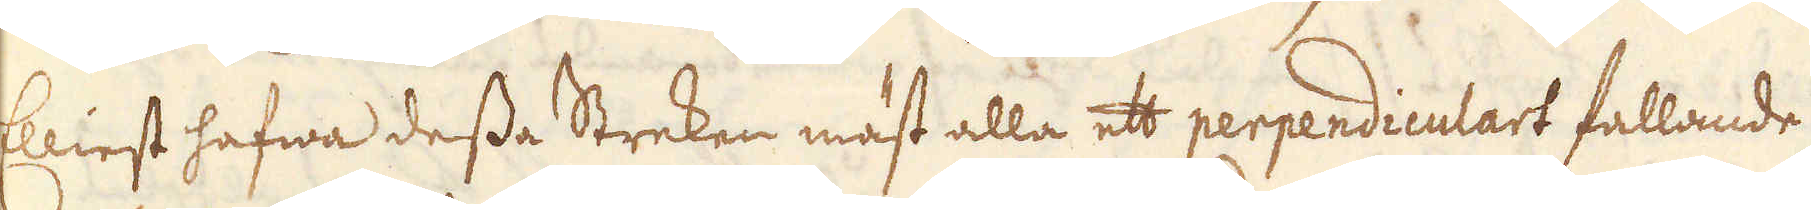Elliest hafwa desse Streken mäst alla ett perpendiculart fallande
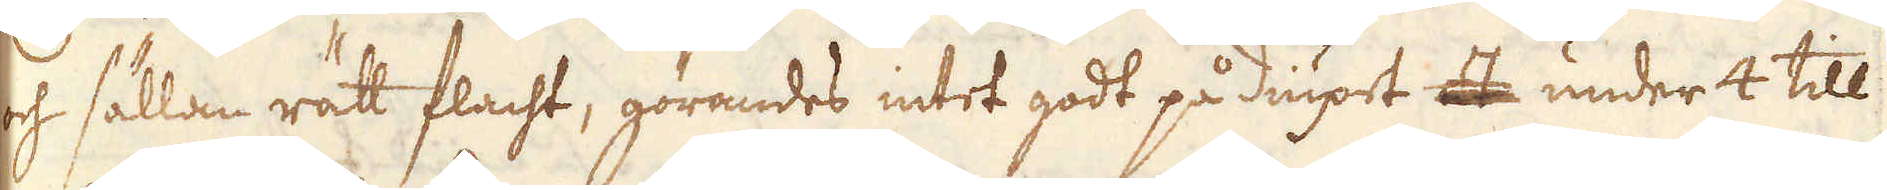och sällan rätt flacht, görandes intet godt på diupet at under 4 till
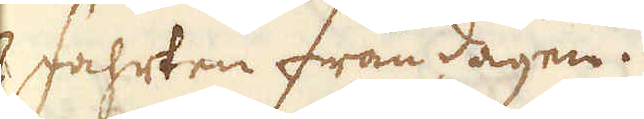7 fahrten från dagen.
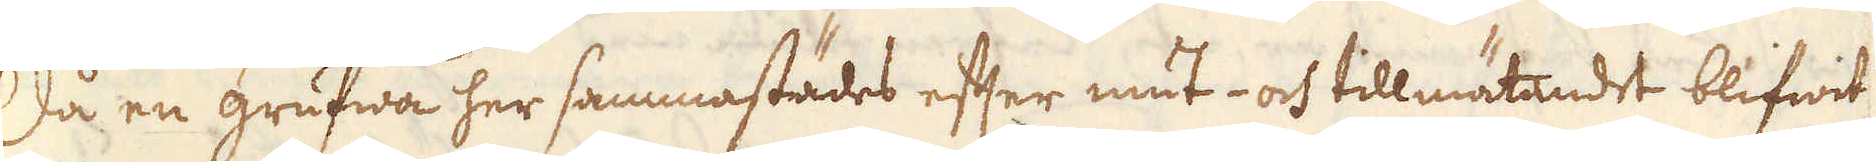Så en grufwa her sammastädes efter mut- och tillmätandet blifwit
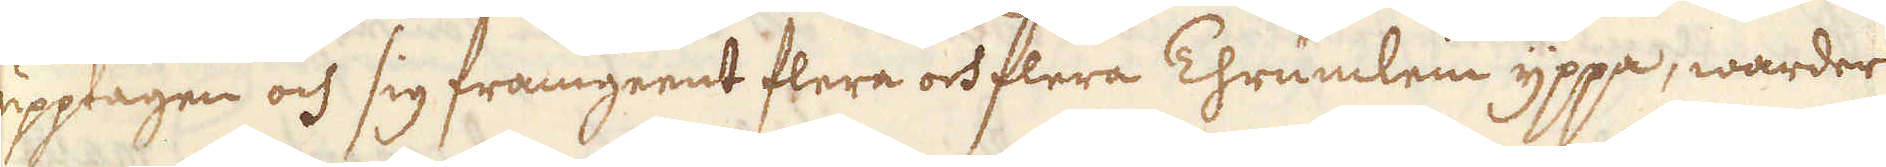upptagen och sig framgeent flera och flera Thrümlein yppa, warder
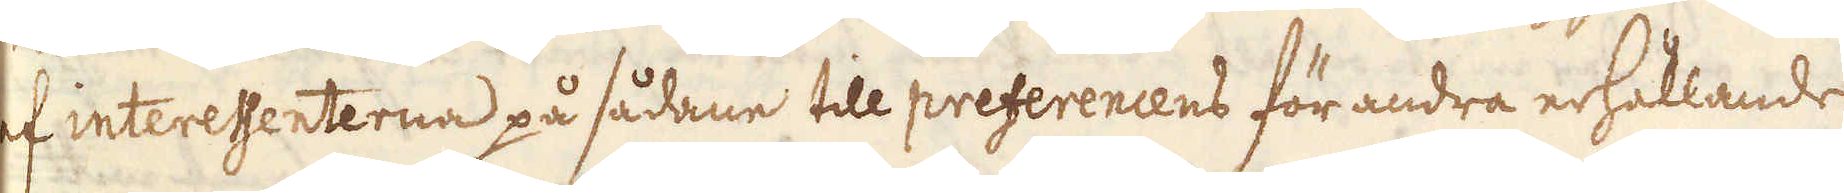af interessenterna på sådane till preferencens för andra erhållande
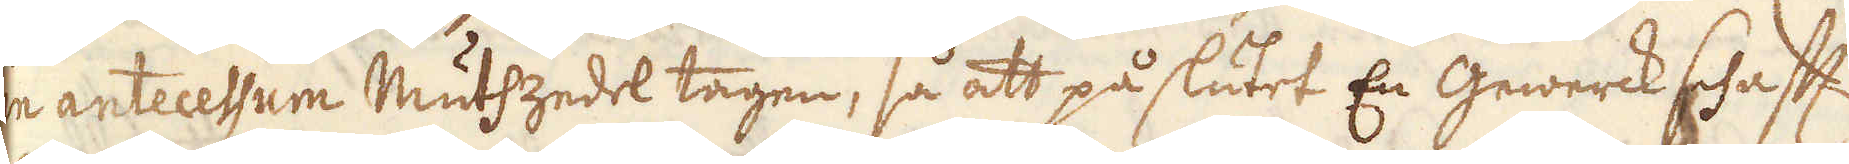in antecessum Mutszedel tagen, så att på slutet En Gewerck schaft
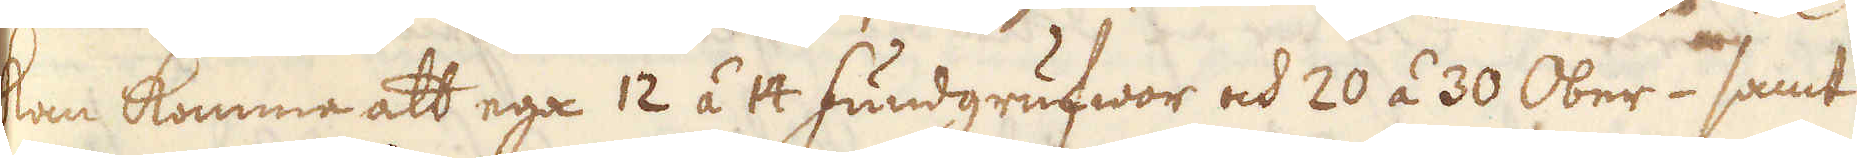kan komme att ega 12 á 14 fundgrufwor och 20 á 30 Ober- samt
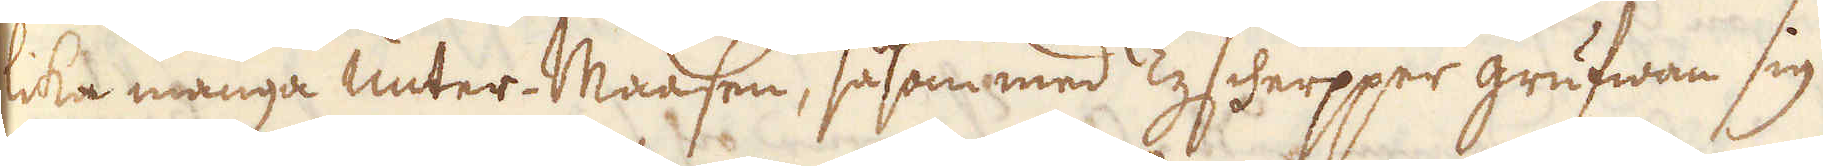lika många unter-Maasen, såsom med Tyscherpper grufwan sig
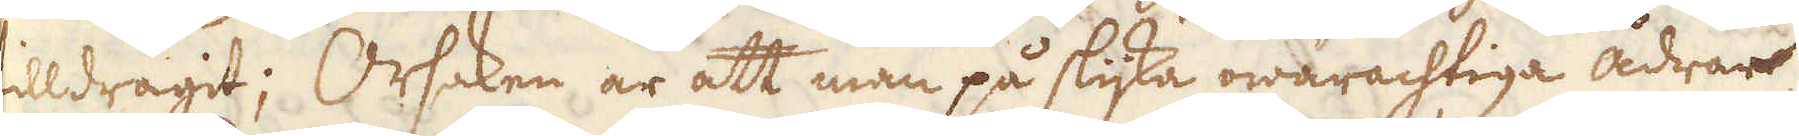tilldragit; Orsaken är att man på slijka owarachtiga ådrar
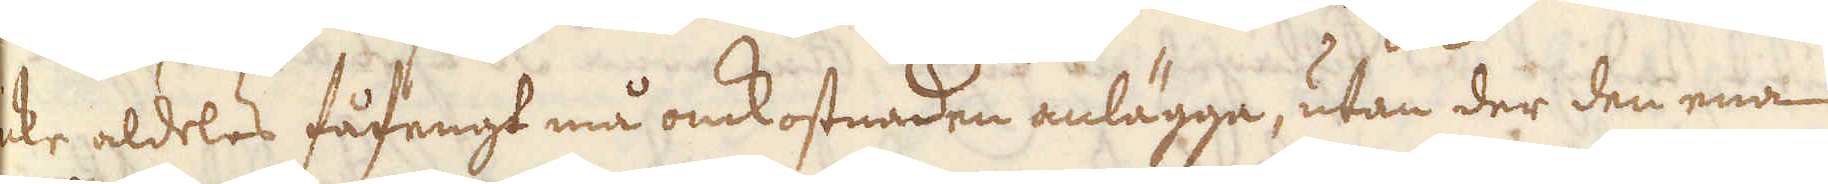icke aldeles fåfengt må omkostnaden anlägga, utan der den ena
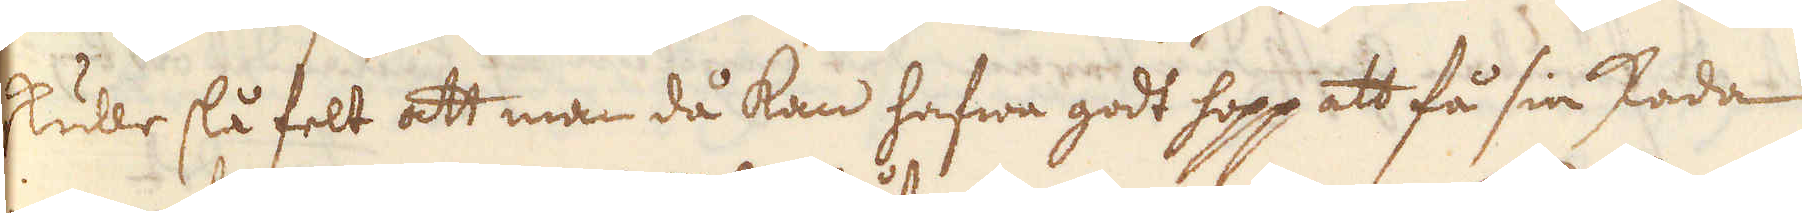skulle slå felt att man då kan hafwa godt hopp att få sin skada
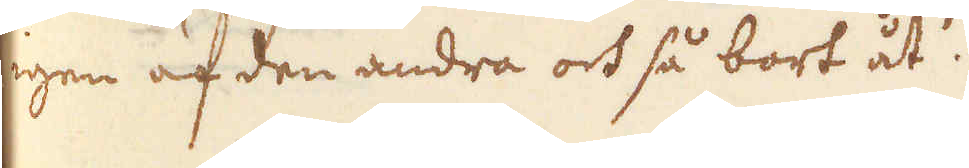igen af den andra och så bort åt.
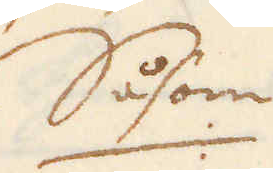Såsom
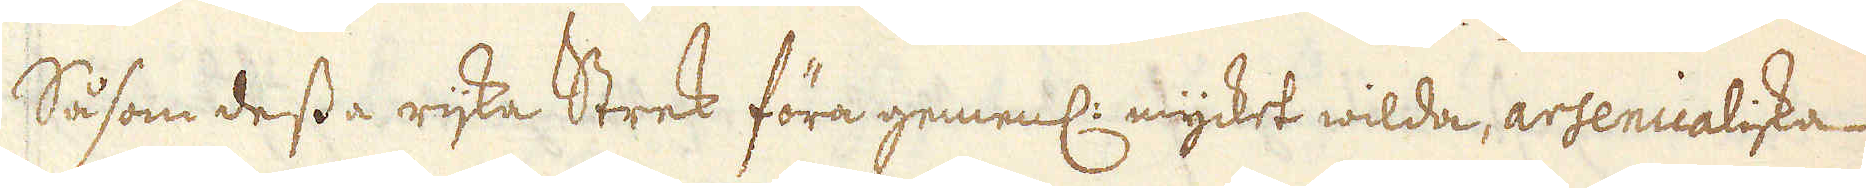Såsom dessa rijka Strek föra gemenl: mycket wilda, arsenicaliska-
